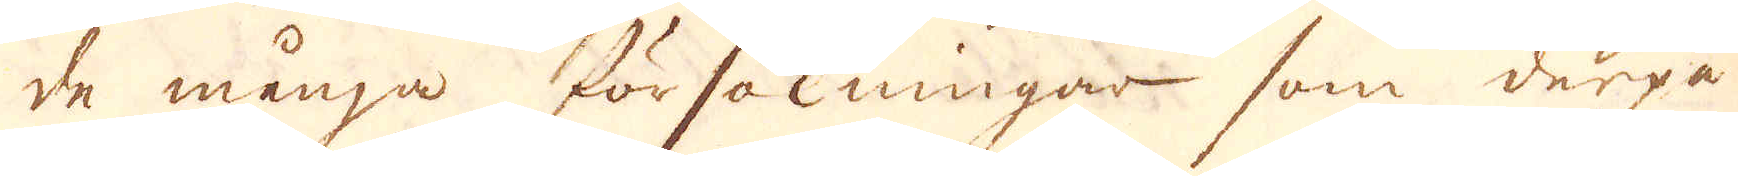de många försökningar som derpå
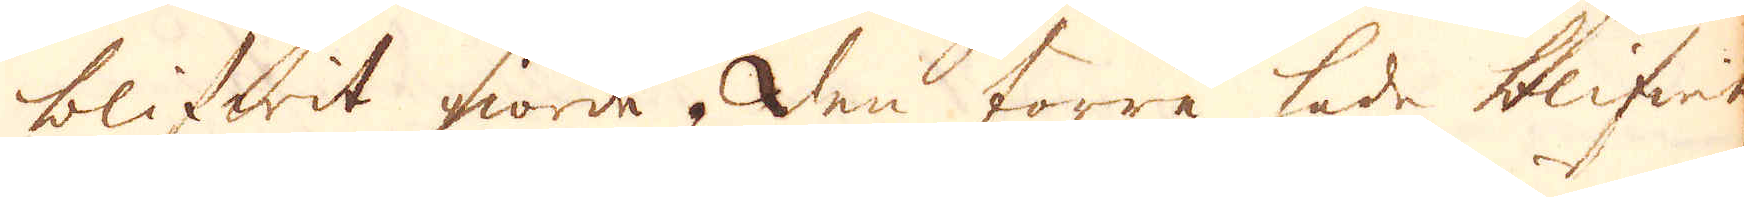blifwit giorde. Den förre hade blifwit
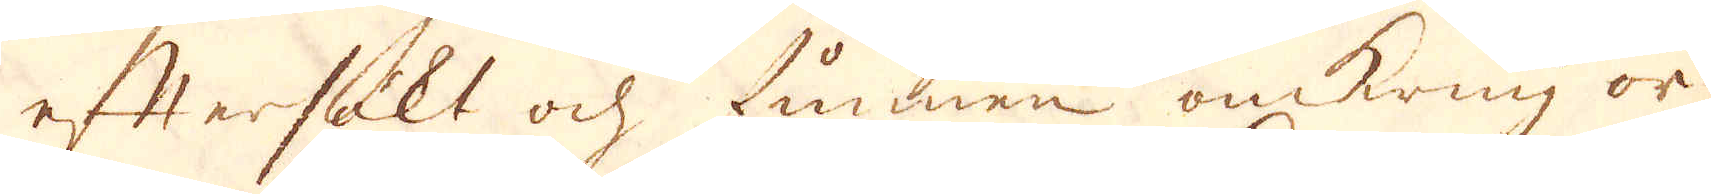eftersökt ock funnen omkring or-
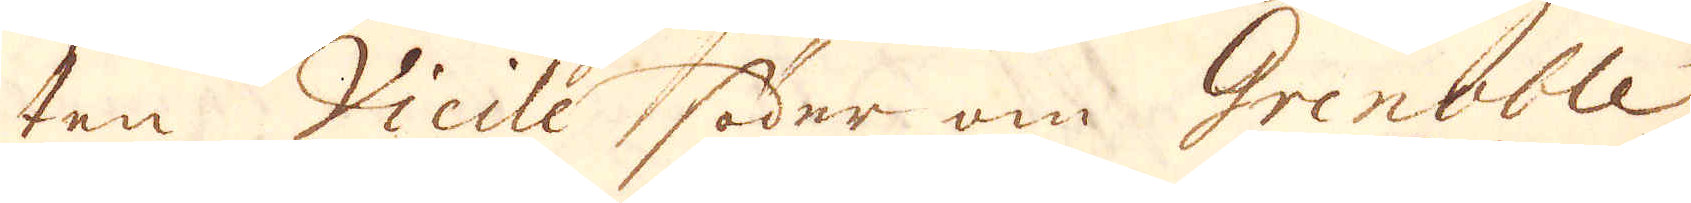ten Vieile söder om Grenoble,
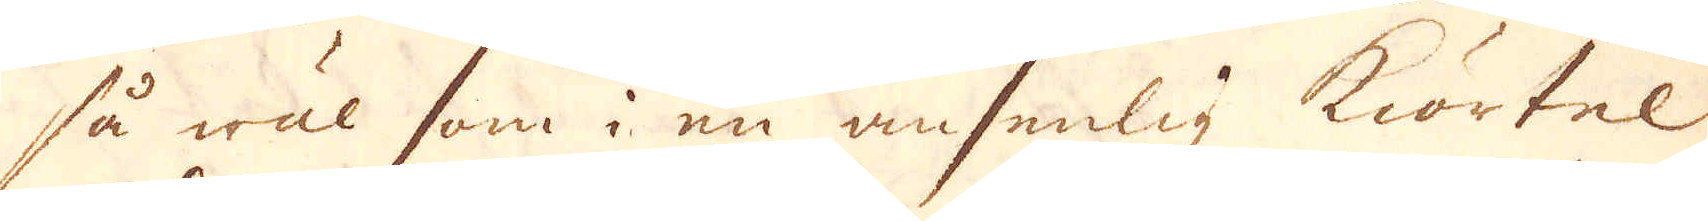så wäl som i en ansenlig kiörtel
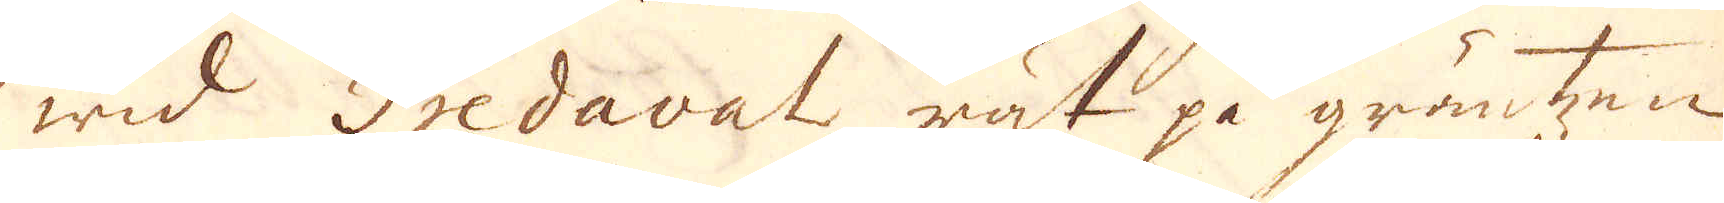wid Fredaval rät på gräntzen
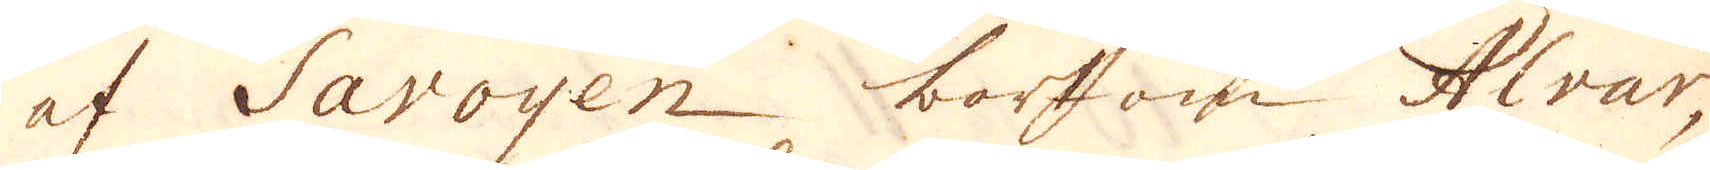af Savoyen bortom Alvar,
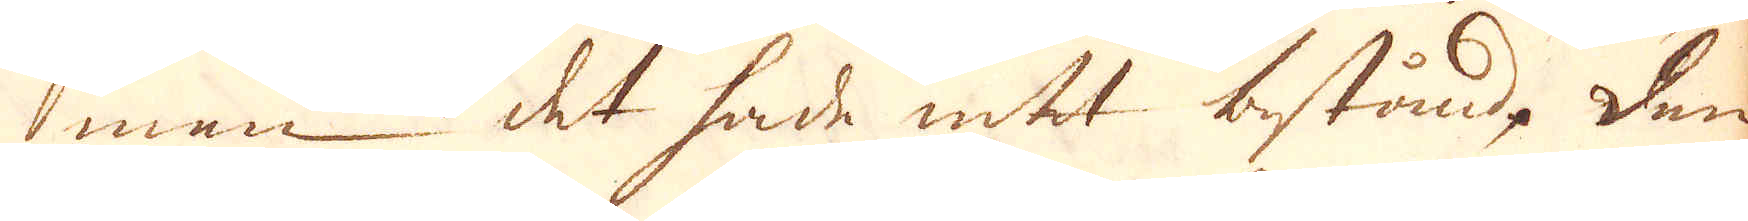men det hade intet bestånd. Den
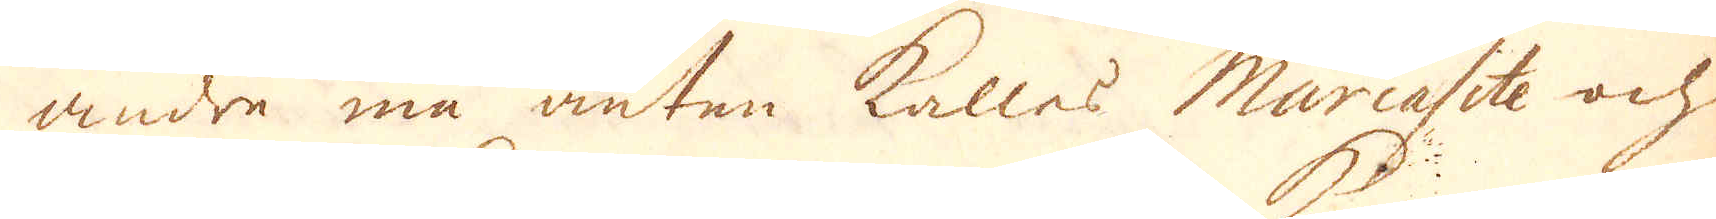andre må anten kallas Murcasite och
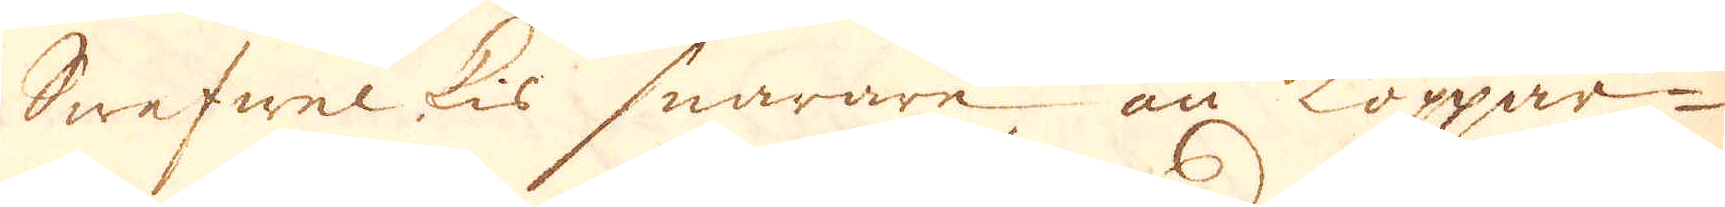Swefwel kis snarare än koppar-
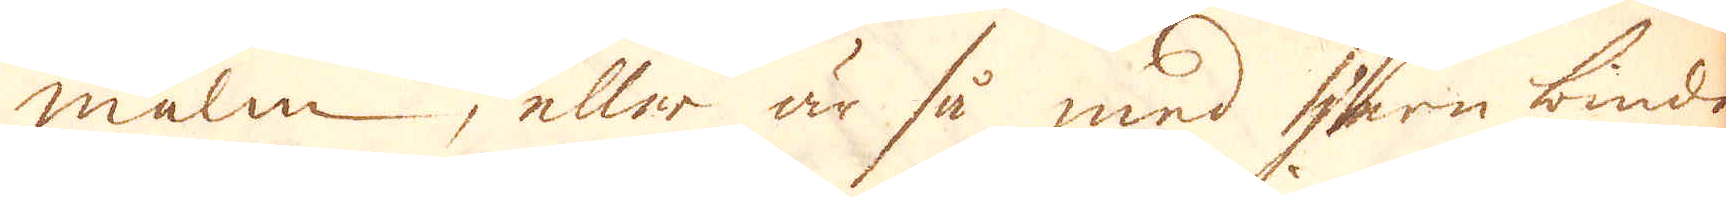malm, eller är så med jern bindo
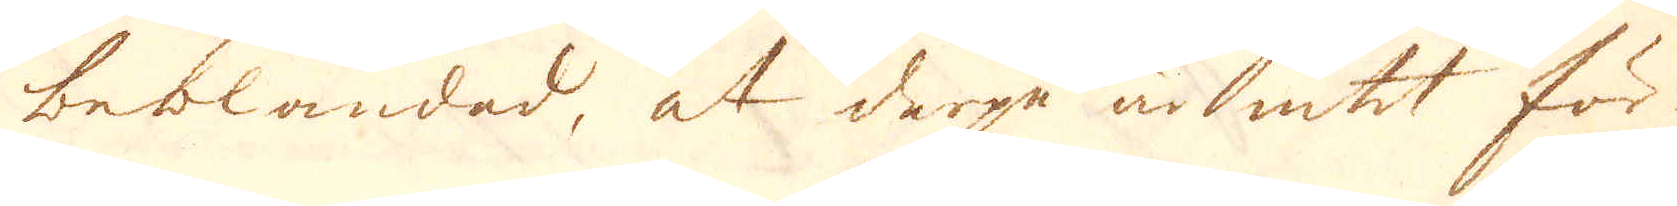beblandad, at derpå är intet för
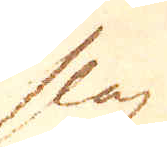slag
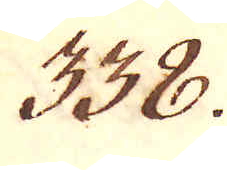338.
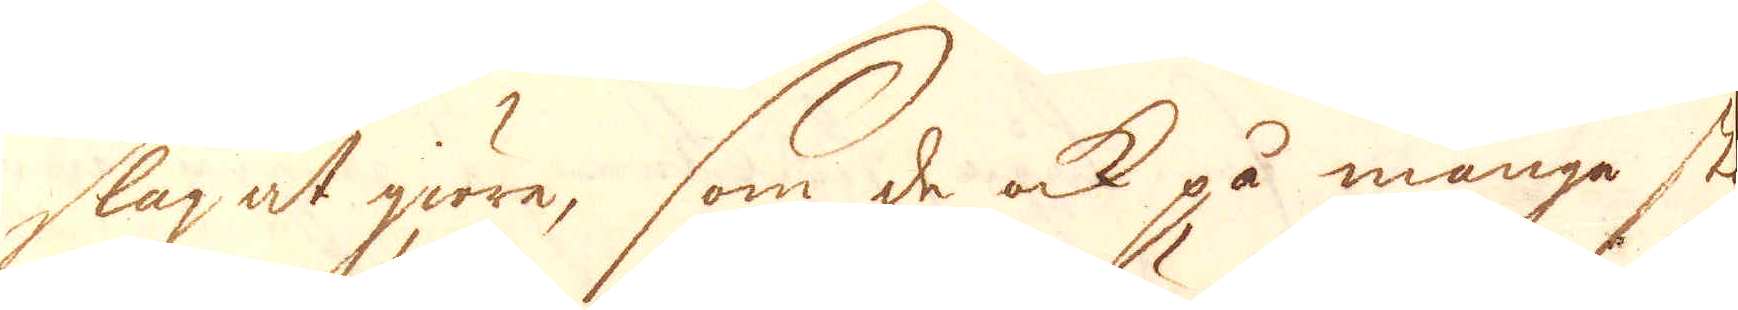slag at giöra, som de ock på många stä-
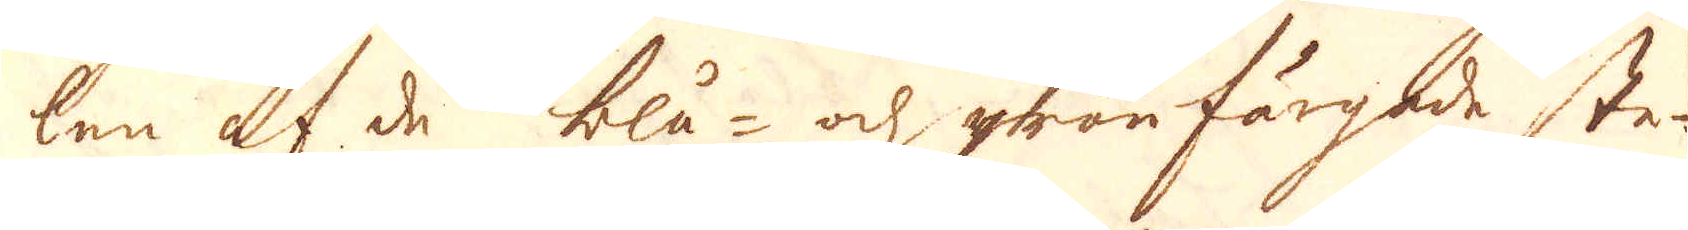len af de blå- och grön färgade ste-
